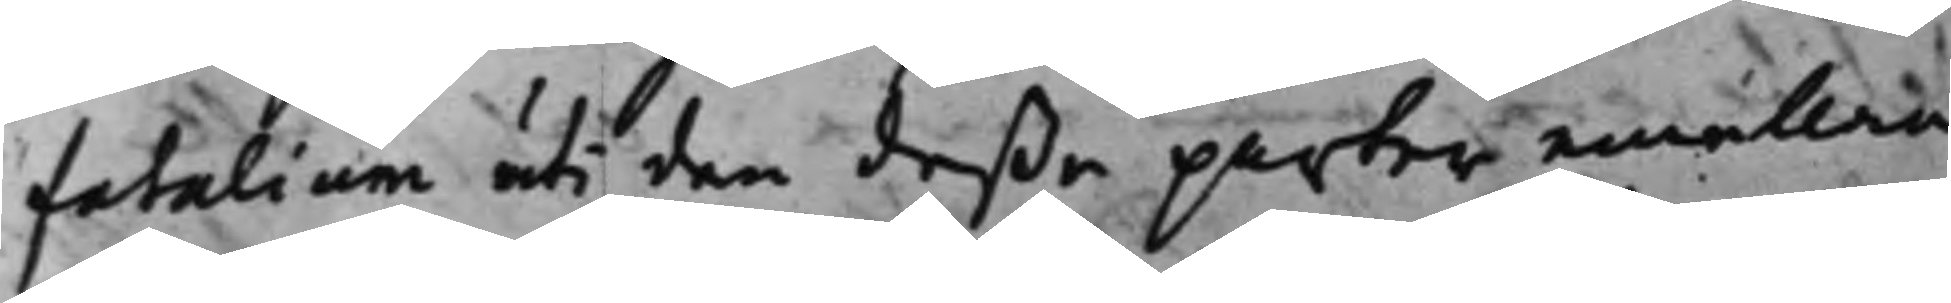fatalium uti den deße parter emellan
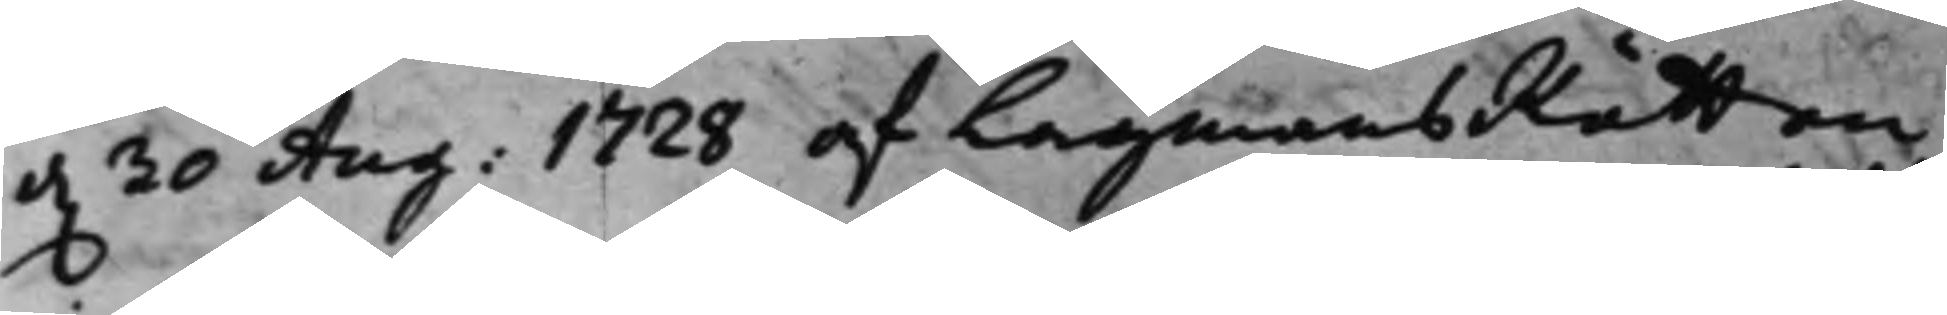d. 30 Aug: 1728 af LagmansRätten
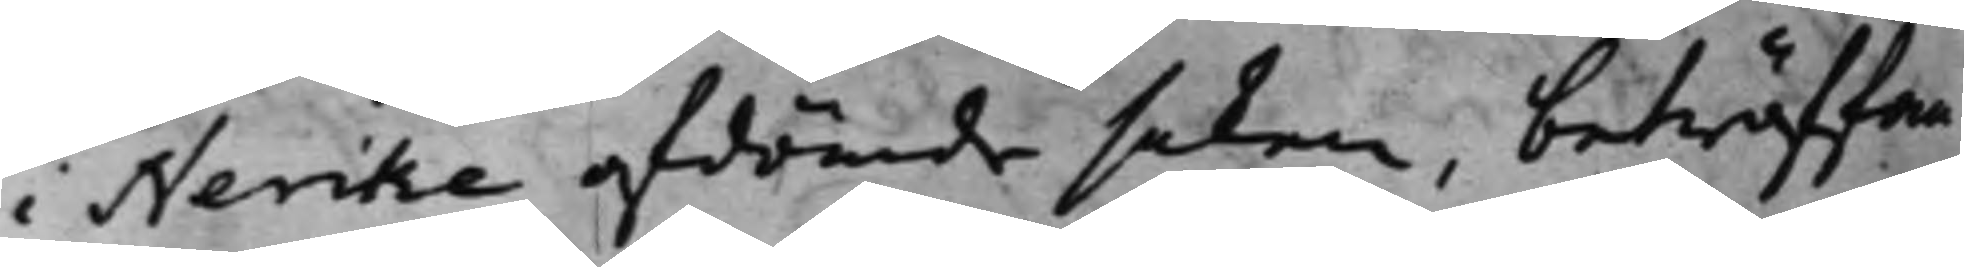i Nerike afdömde saken, beträffan¬
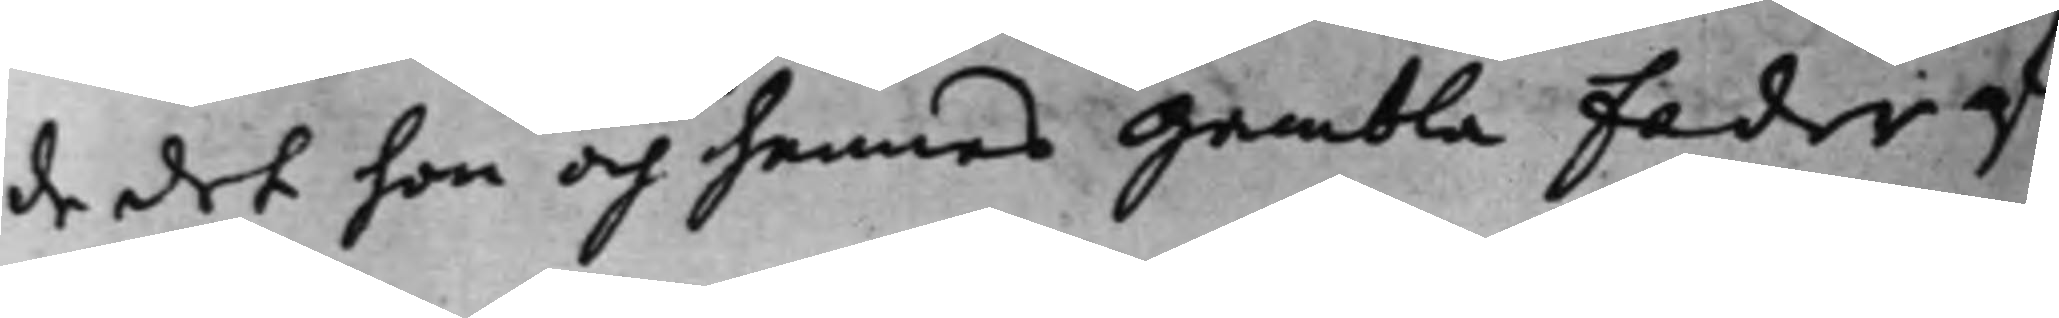de det hon och hennes Gambla Fader af
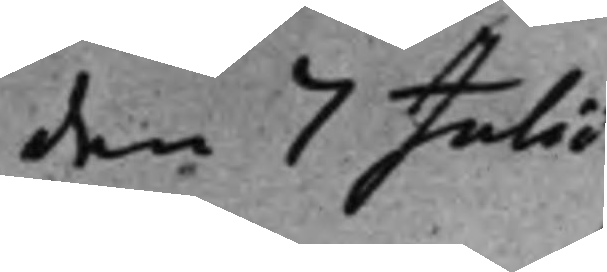den 7 Julii
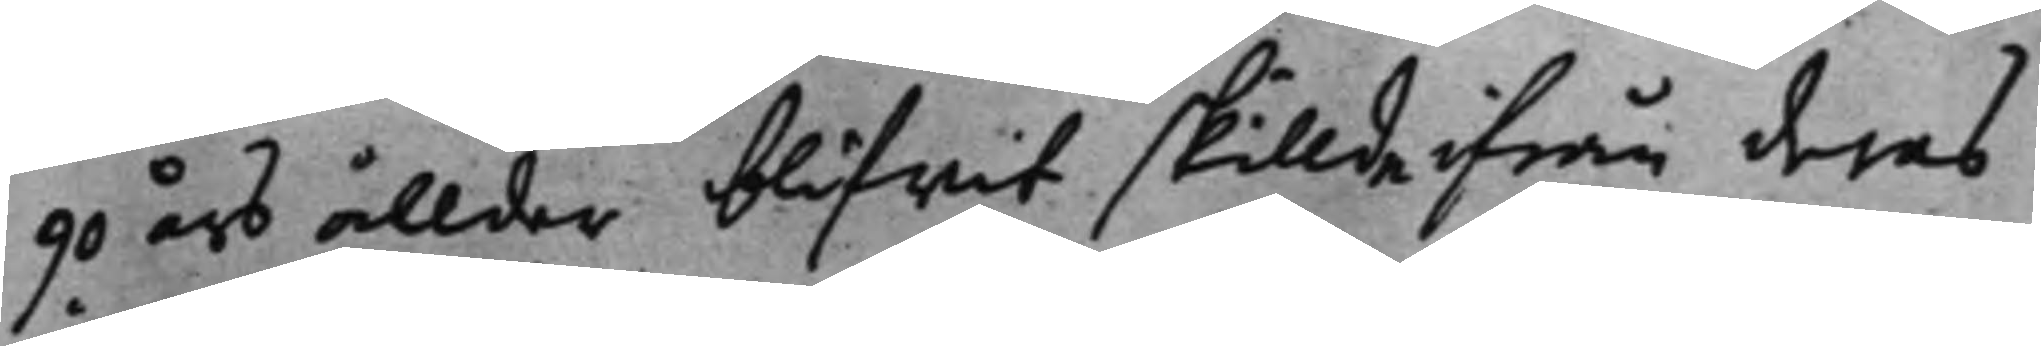90 års ållder blifwit skillde ifrån deras
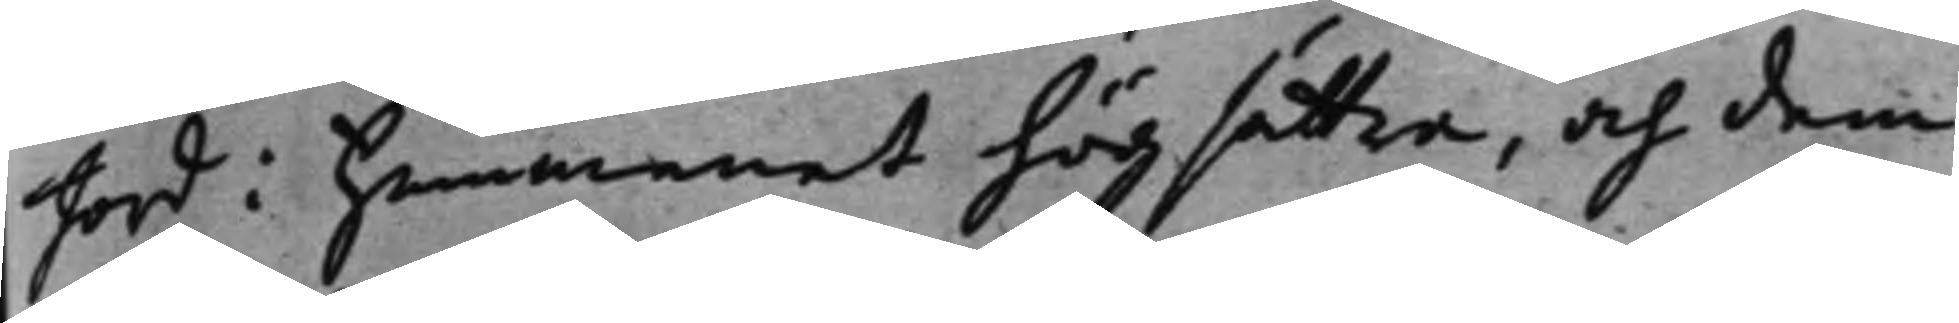Jord i Hemmanet högsätter, och dem
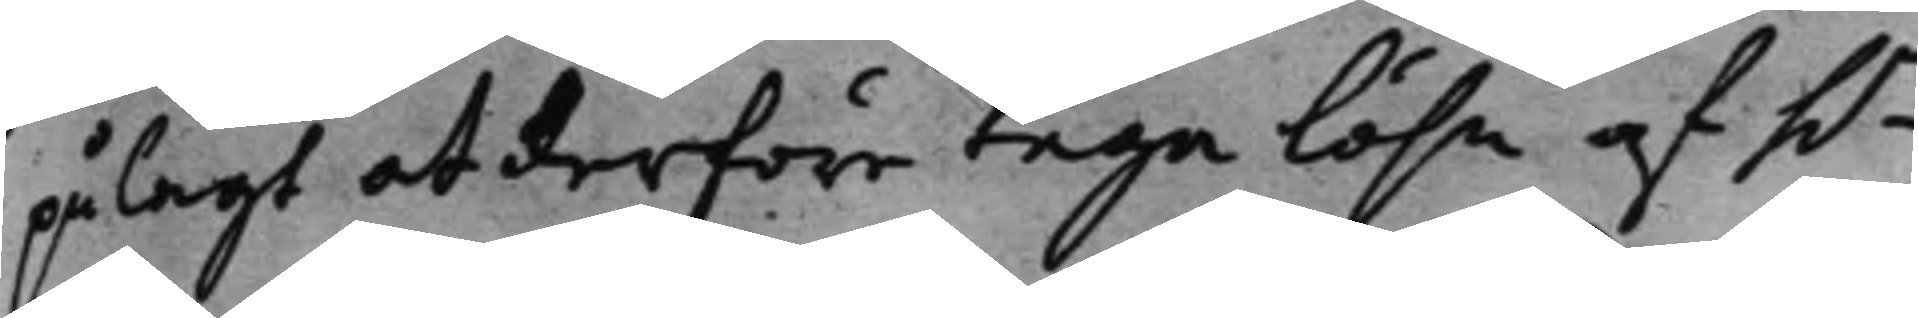pålagt at derföre taga Lösn af h.r
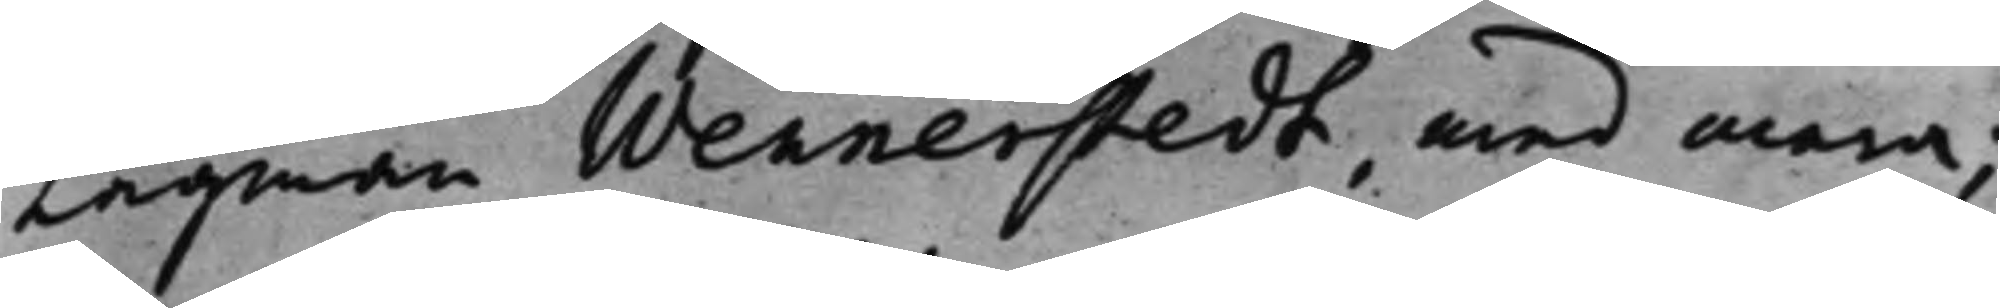Lagman Wennerstedt, med mera;
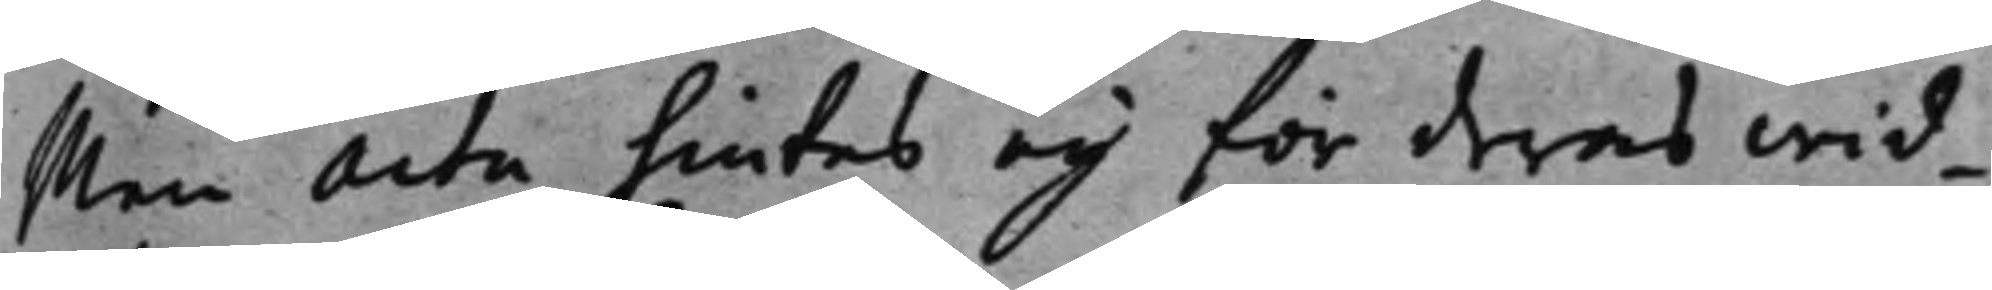Men Acta hintes ey för deras wid¬
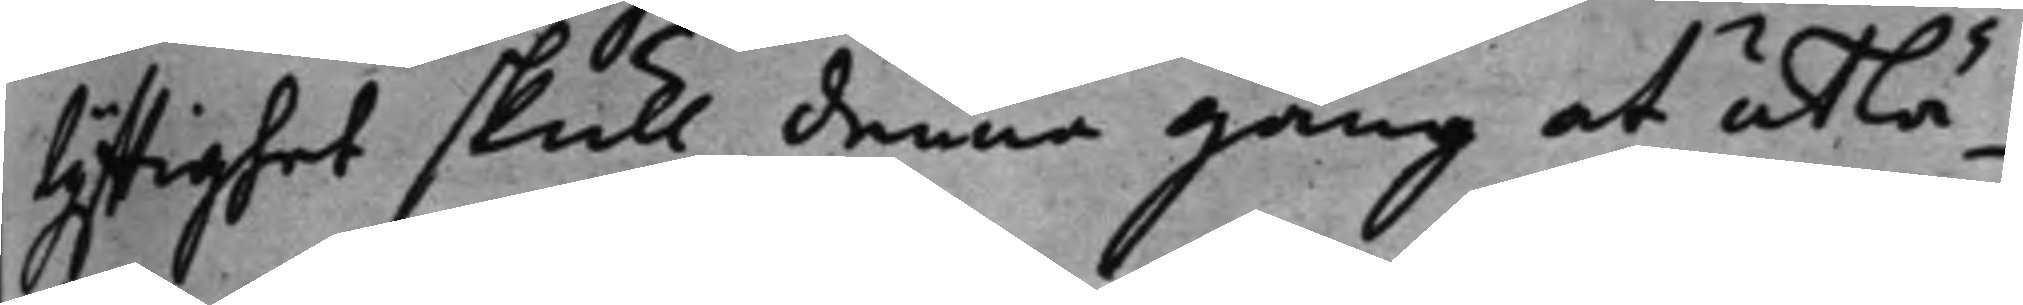lyftighet skull denne gång at utlä¬
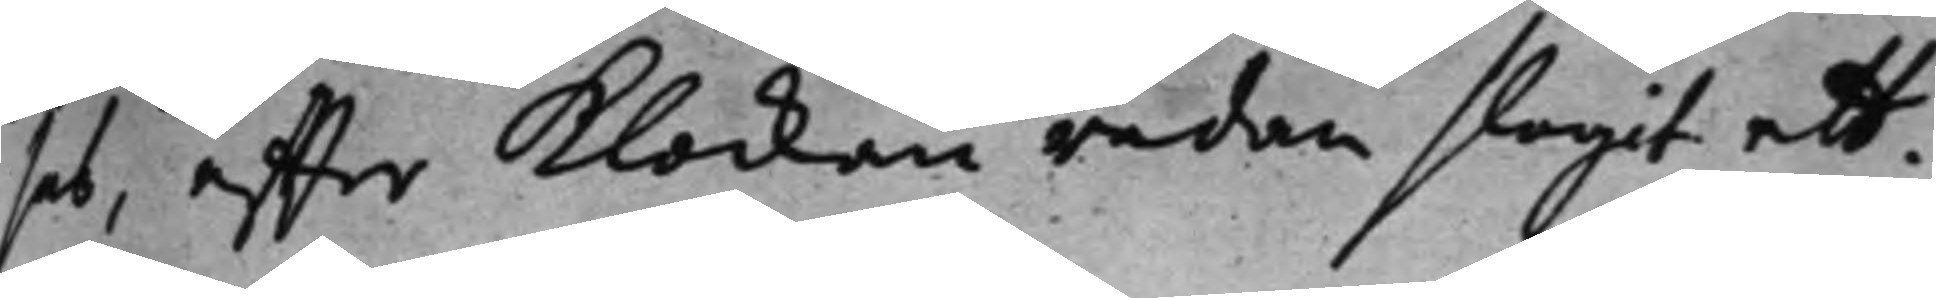sas, effter Klockan redan slagit ett.
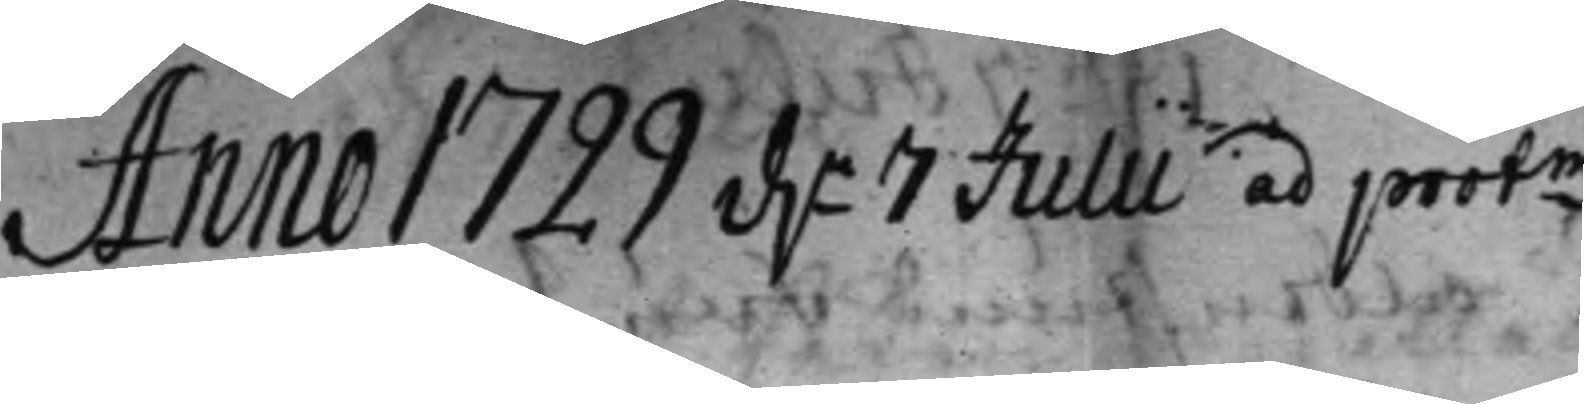Anno 1729 d.n 7 Julii ad protm 
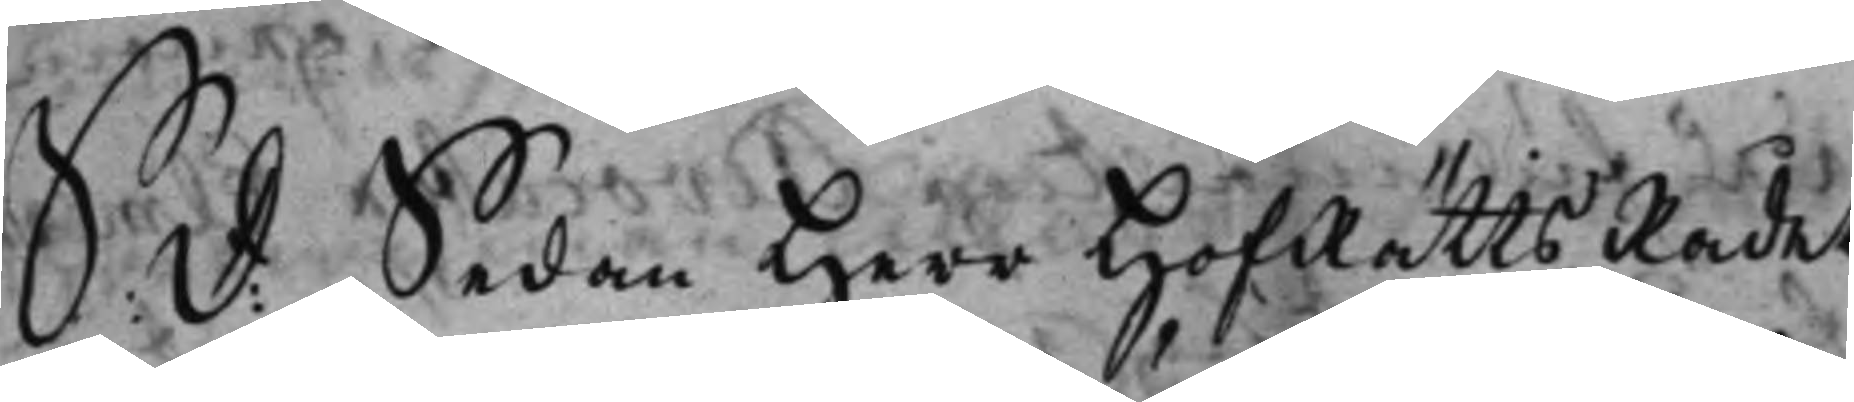S: d: Sedan Herr HofRätts Rådet
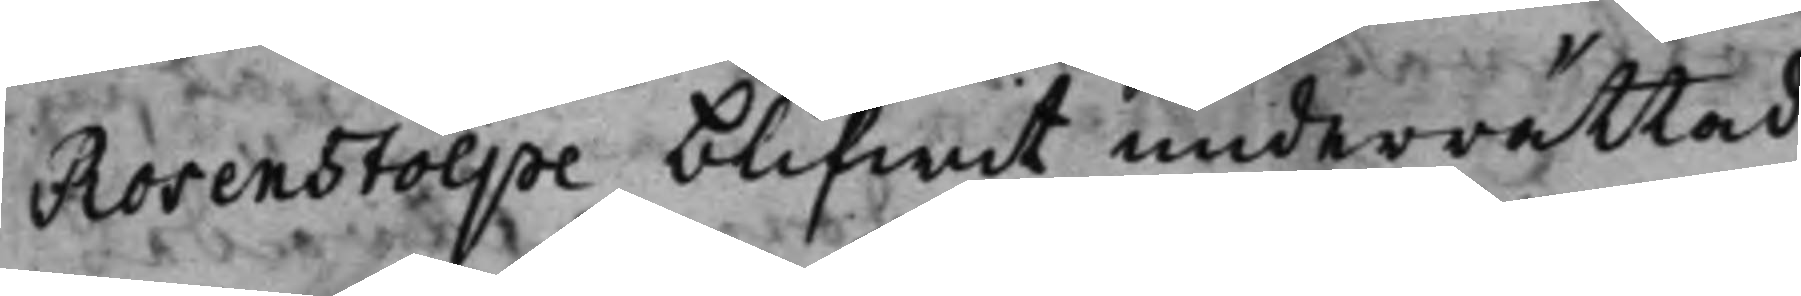Rosenstolpe blifwit underrättad
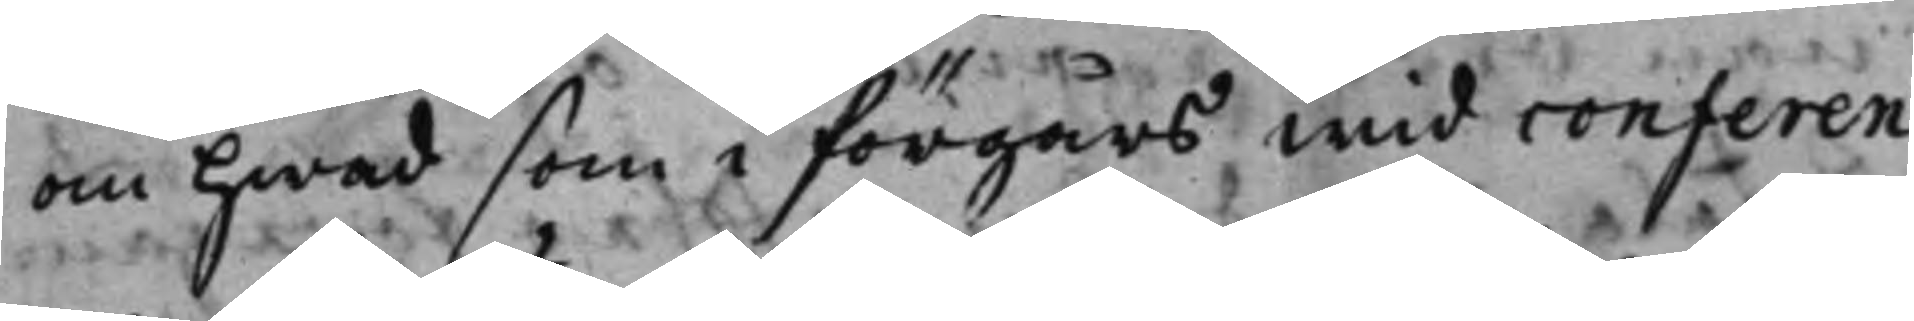om hwad som i förgårs wid conferen¬
